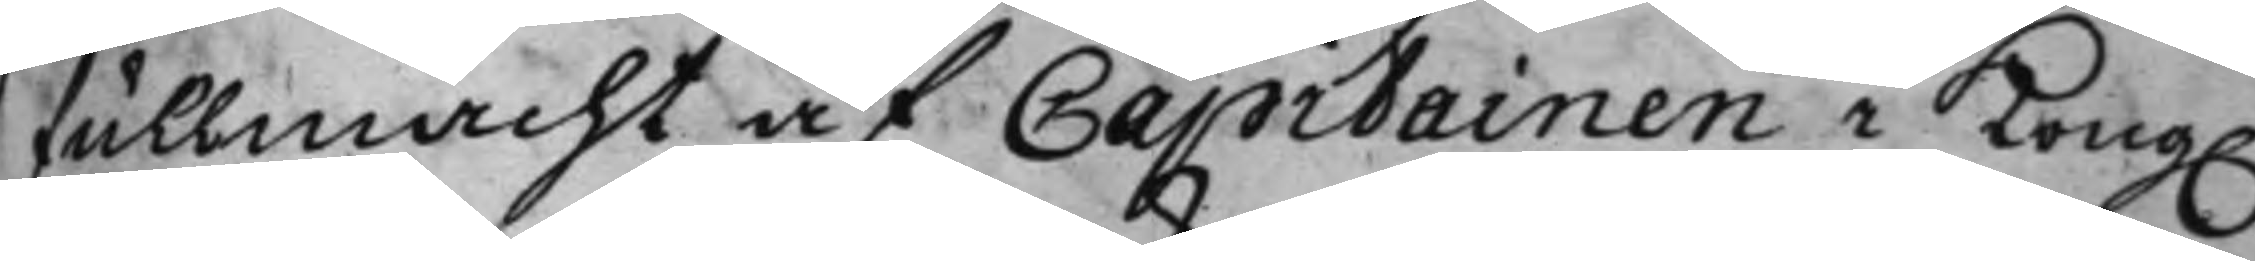fullmacht af Capitainen i Kong.
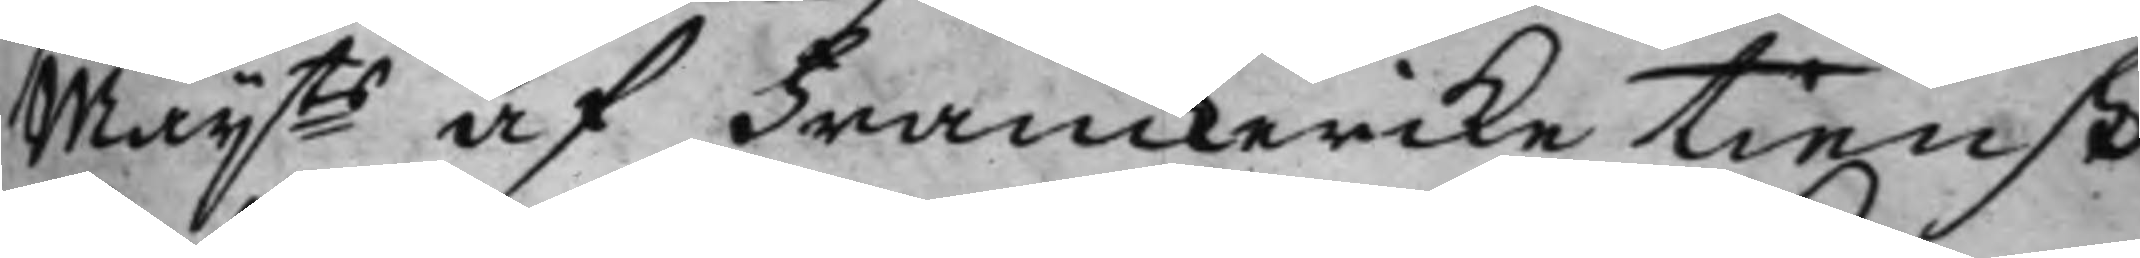Maijts af Franckerike Tienst
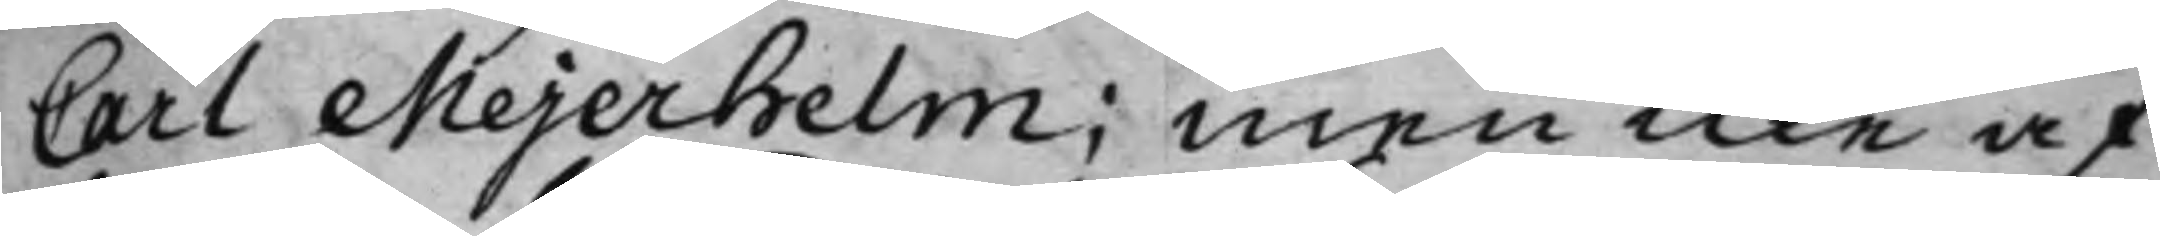Carl Mejerhelm; Men icke af
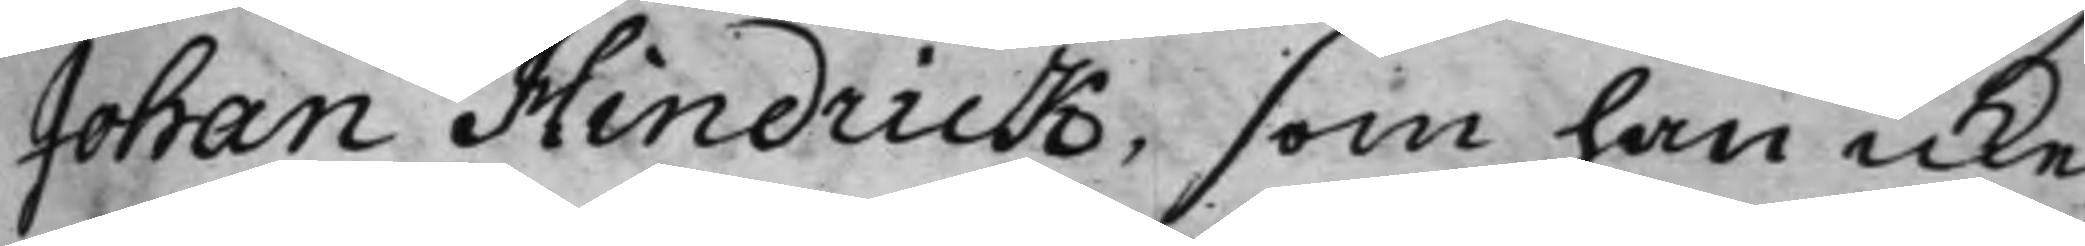Johan Hindrick, som han icke
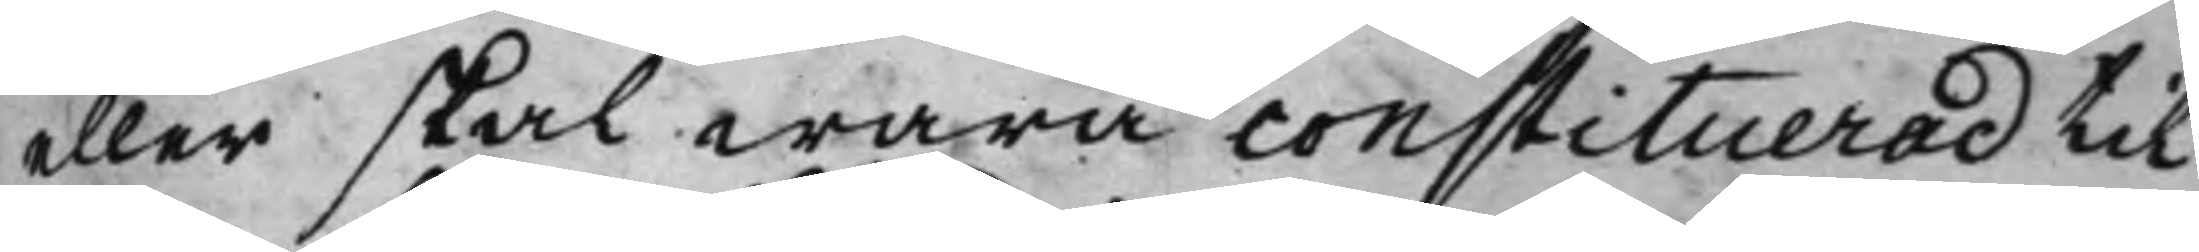eller skal wara constituerad til
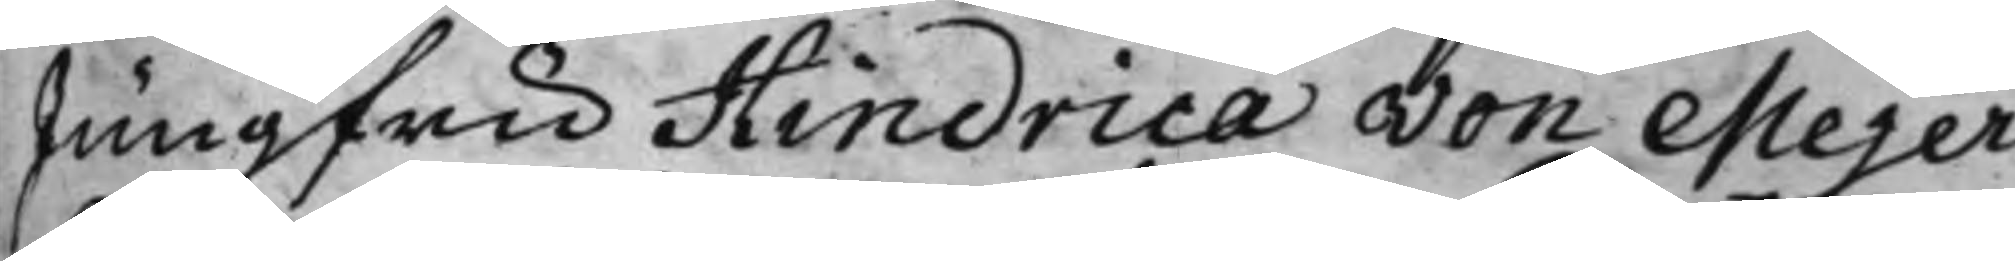Jungfru Hindrica von Mejer¬
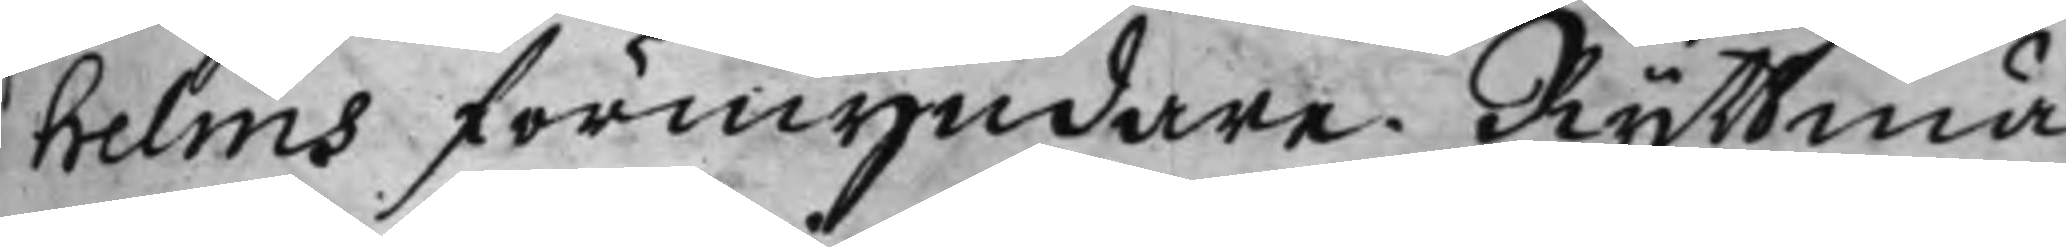helms förmyndare. Ryttmä¬
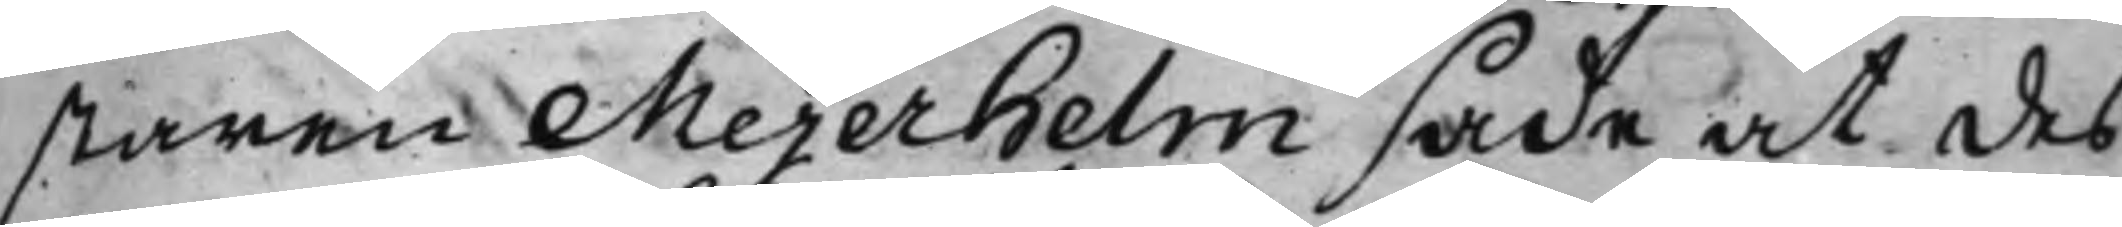staren Mejerhelm sade at des
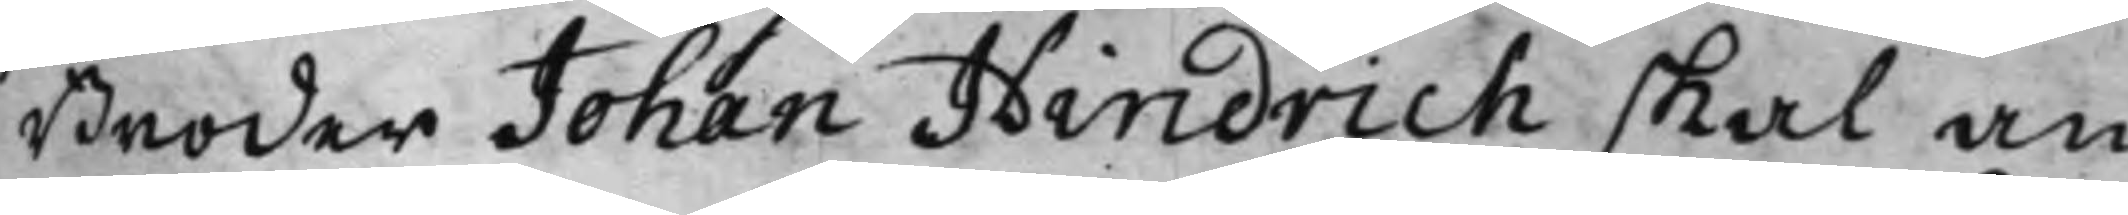Broder Johan Hindrich skal an¬
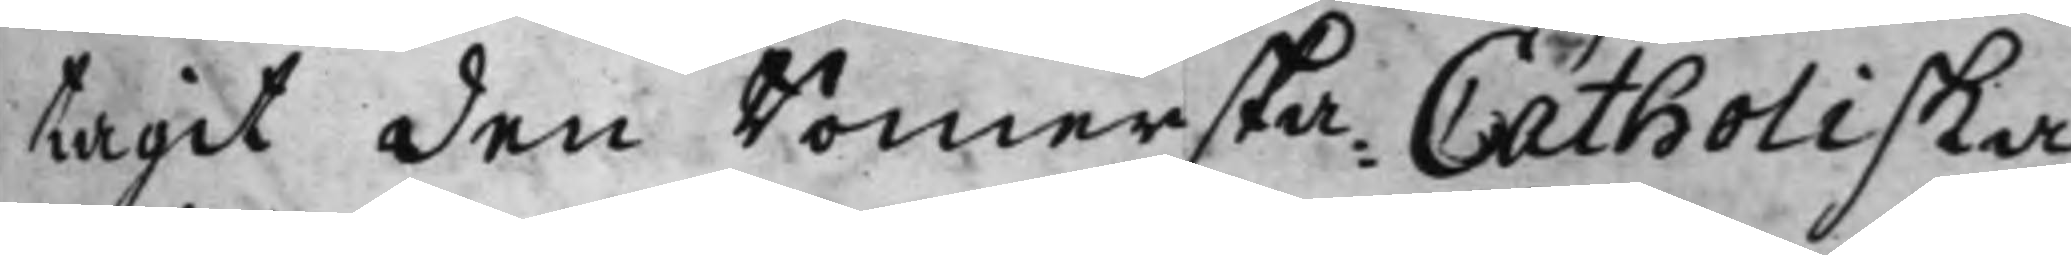tagit den Romerska Catholiska
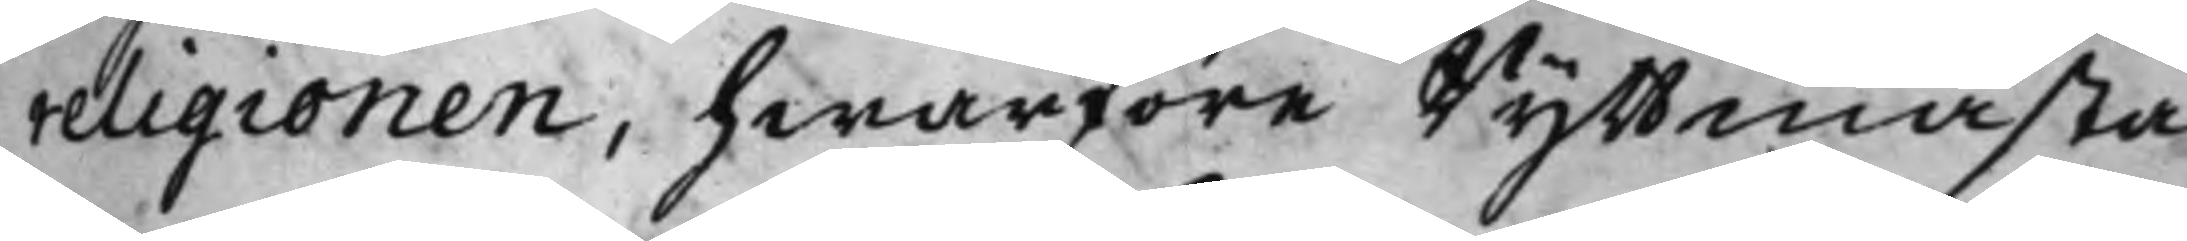religionen, hwarföre Ryttmästa¬
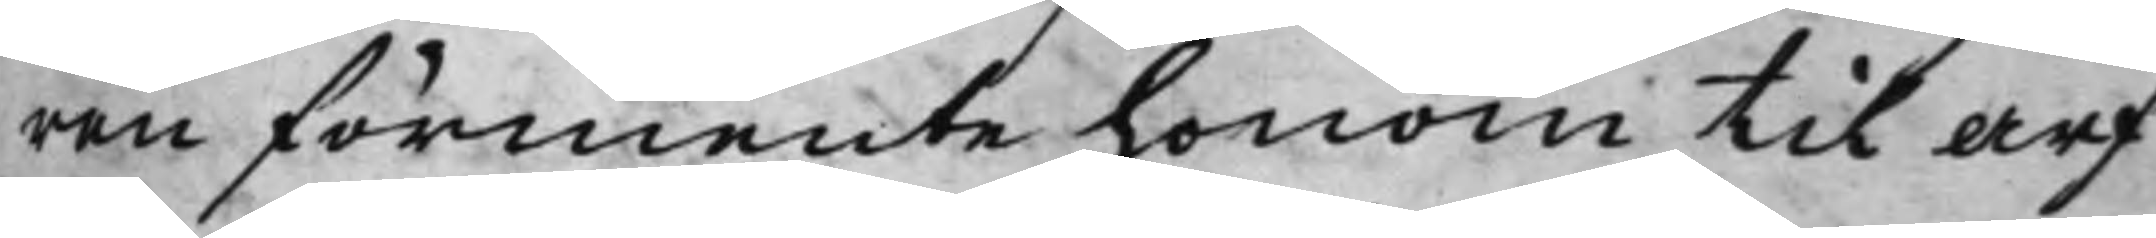ren förmente honom til arf
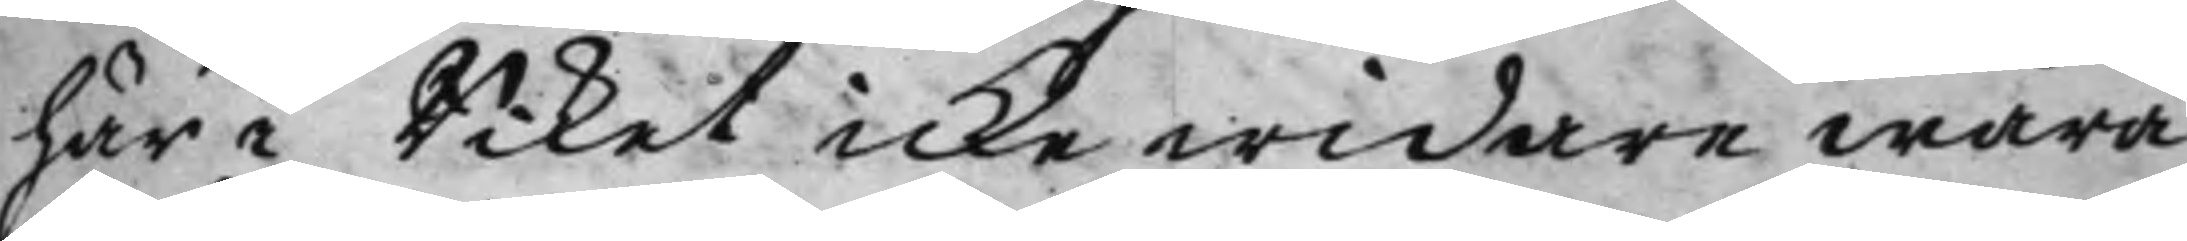här i Riket icke widare wara
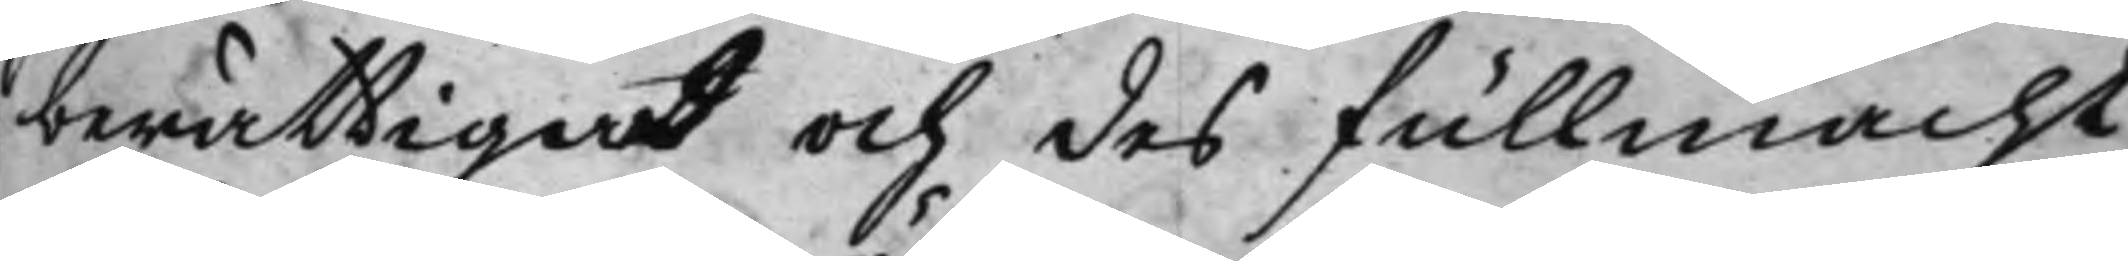berättigad och des fullmacht
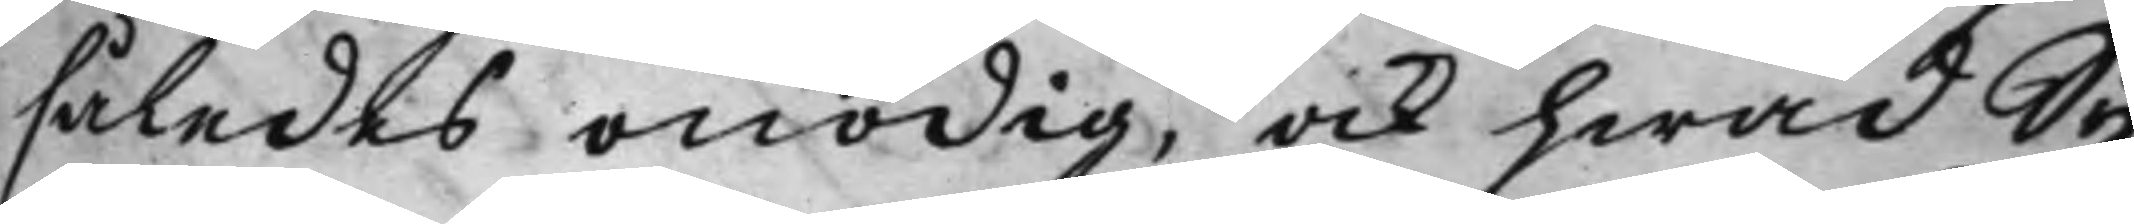således onödig, ock hwad Sy¬
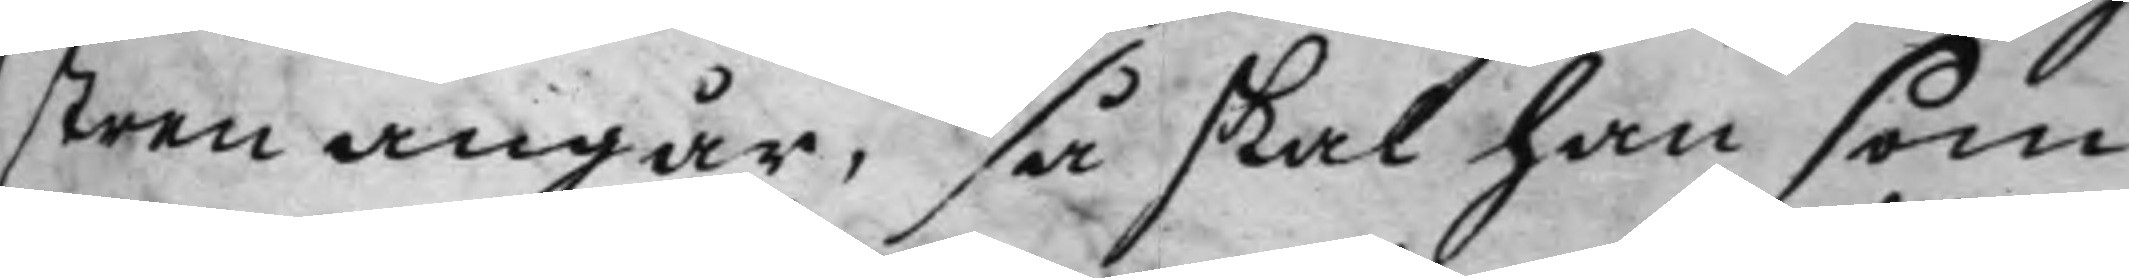stren angår, så skal han som
